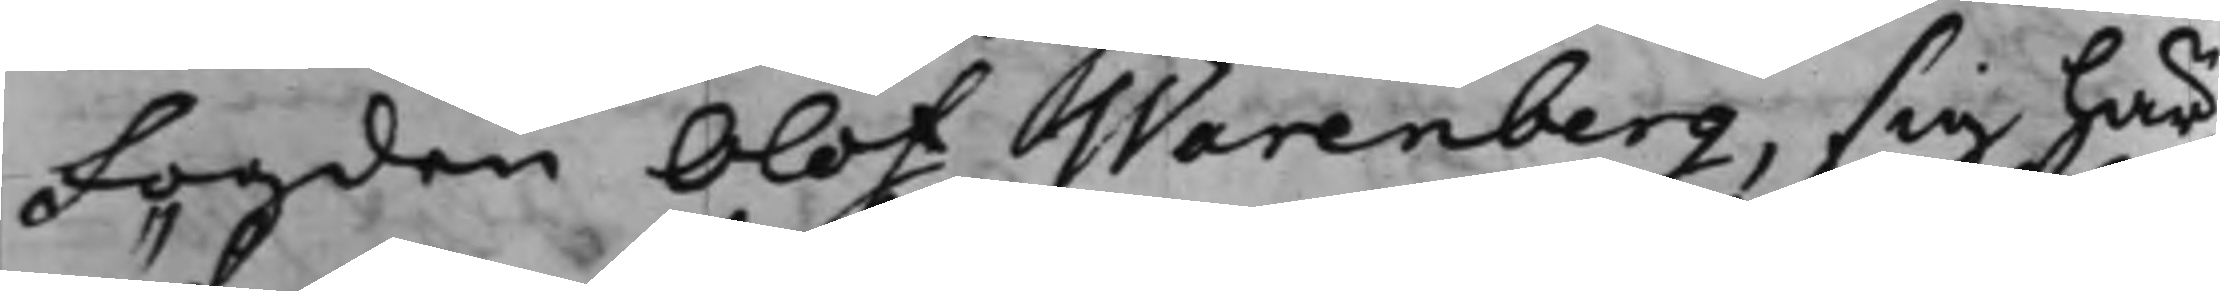fogden Olof Warenberg, sig här¬
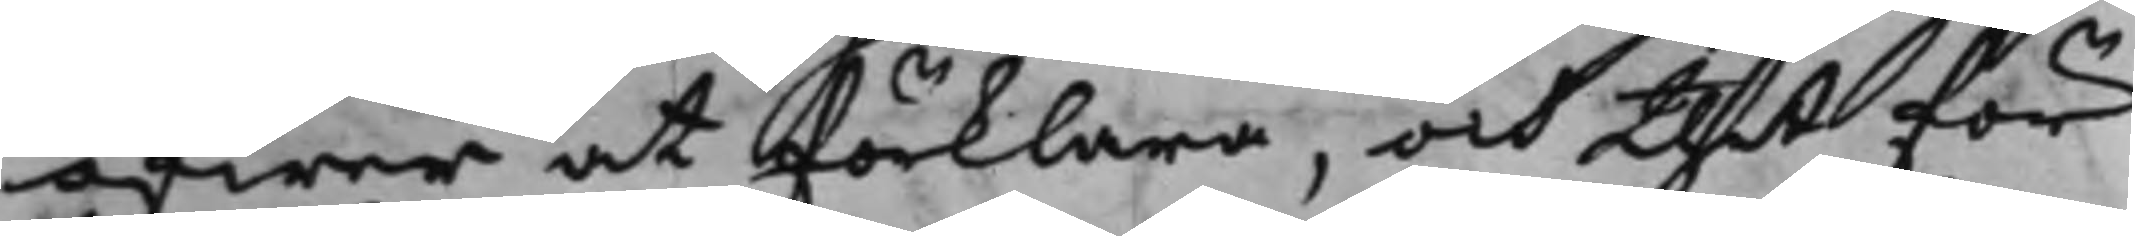öfwer at förklara, och thet för
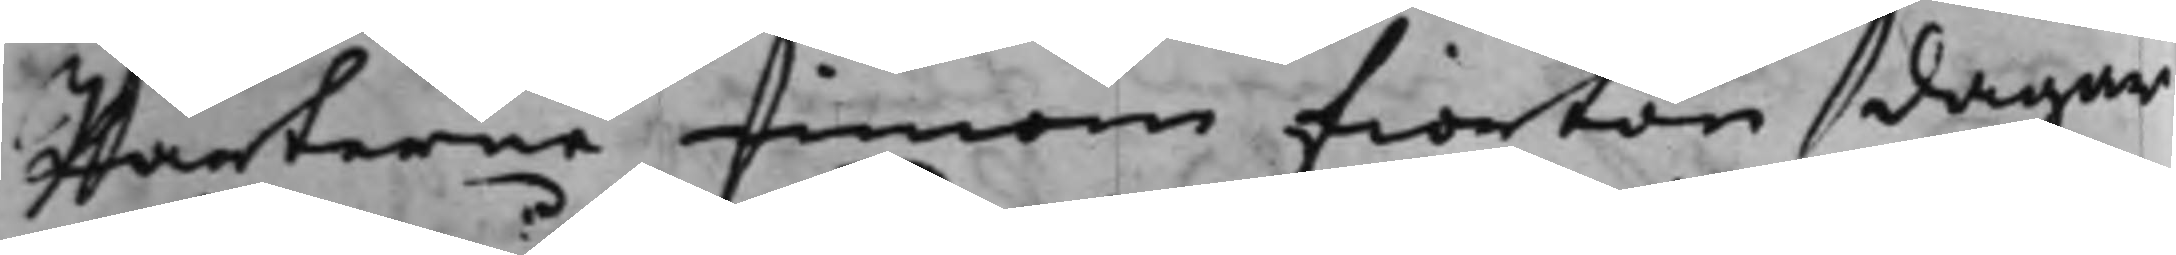Parterne innom fiorton dagar
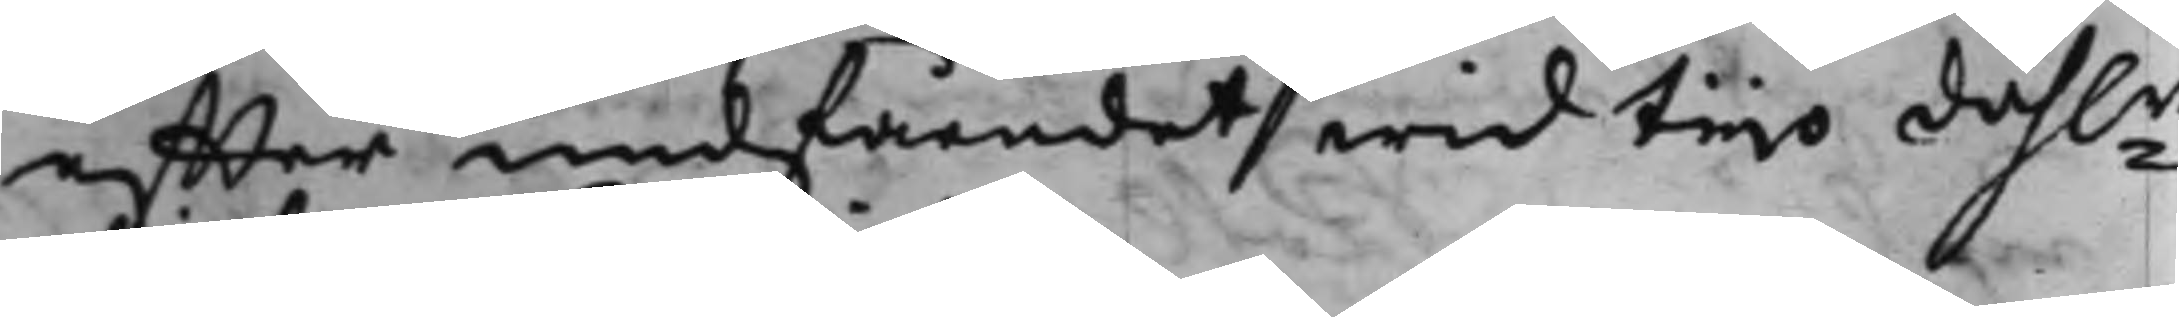effter undfåendet wid tijo dahlr
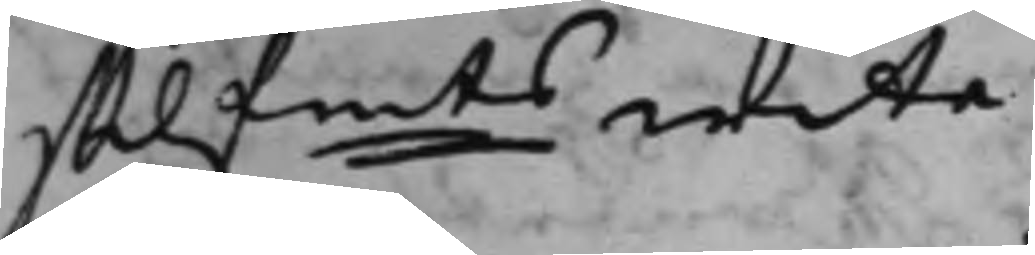Silfmts wite.
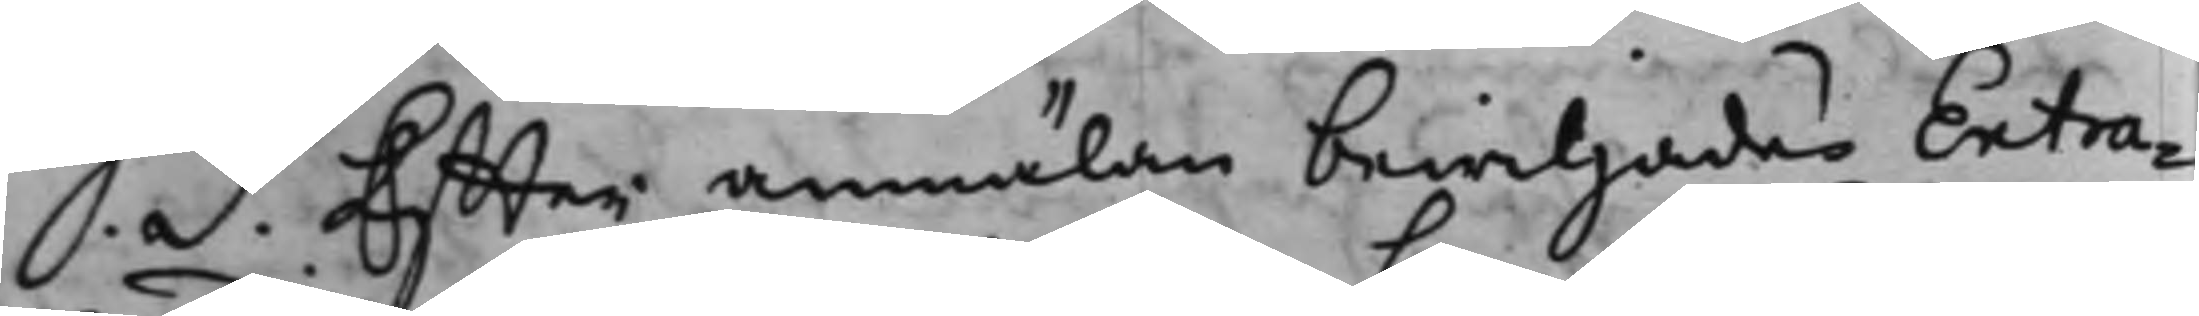S. d. Effter anmälan bewiljades Extra¬
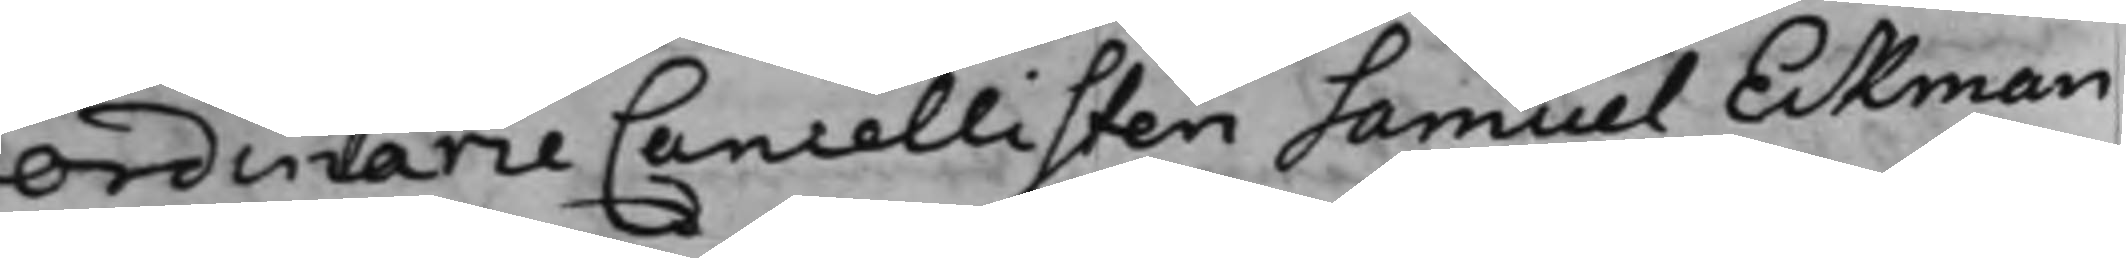Ordinarie Cancellisten Samuel Eckman
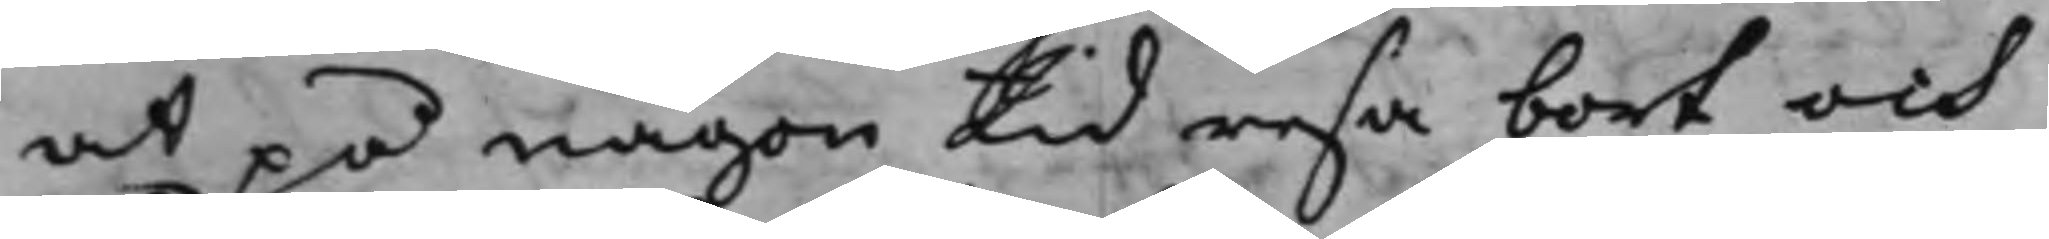at på någon tid resa bort, och
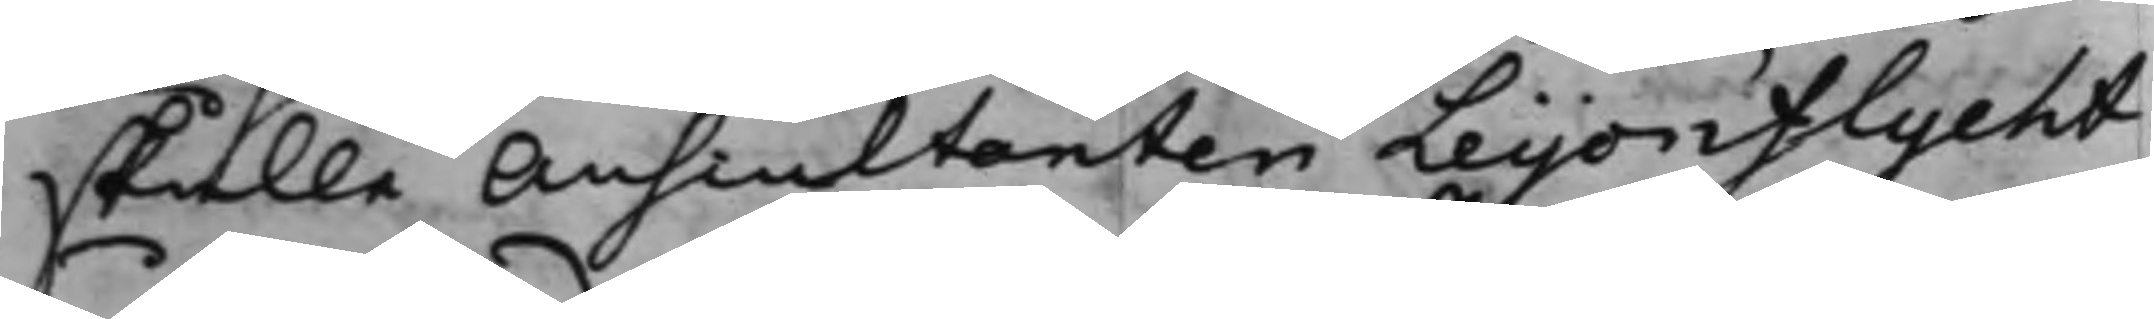skulle Auscultanten Leijonflycht
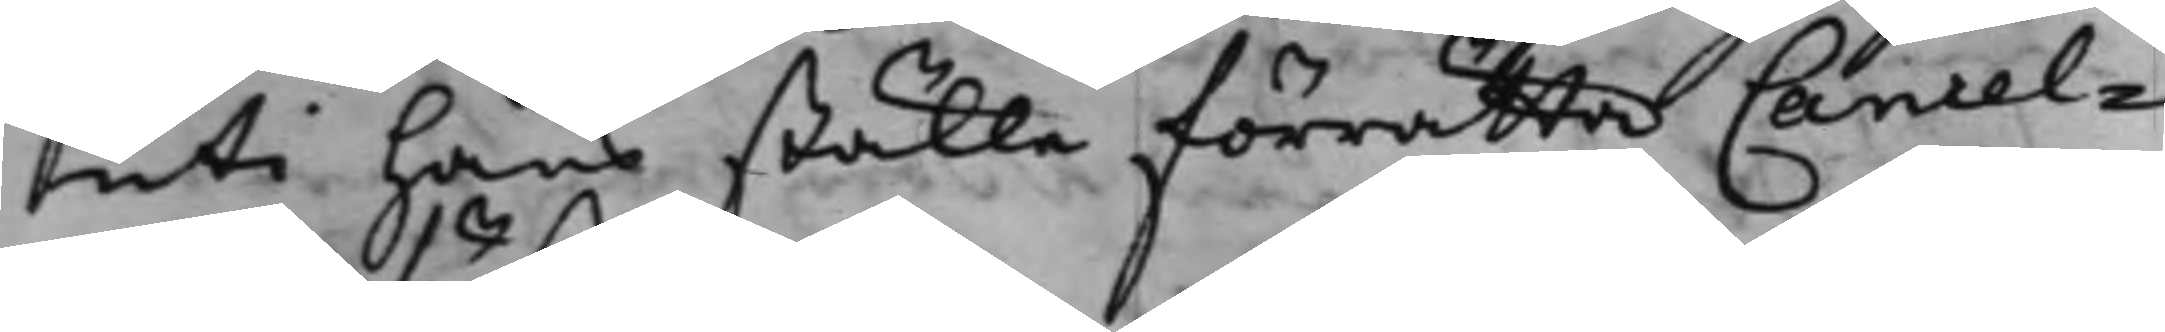uti hans ställe förrätta Cancel¬
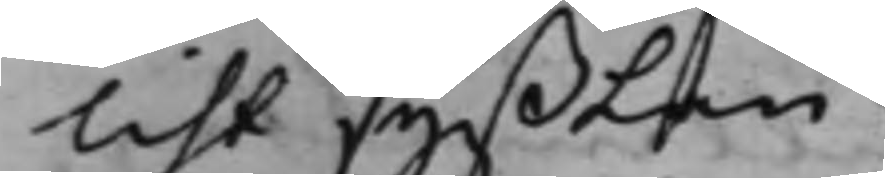list syßlan.
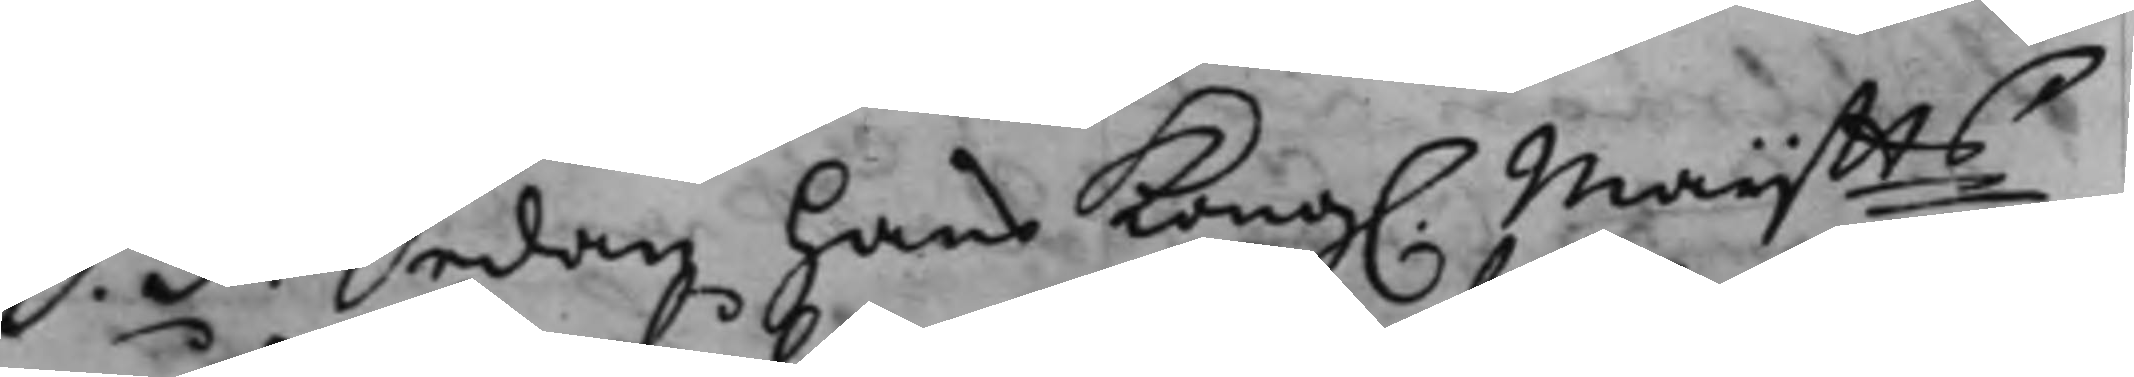S. d. Sedan hans Kong. Maijtts
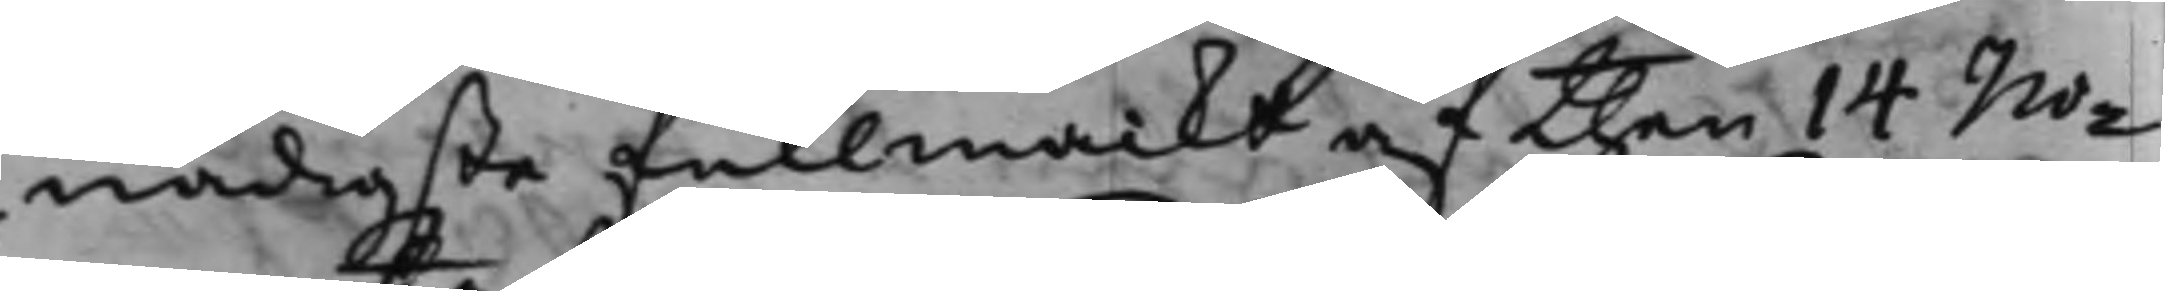nådigste fullmackt af then 14 No¬
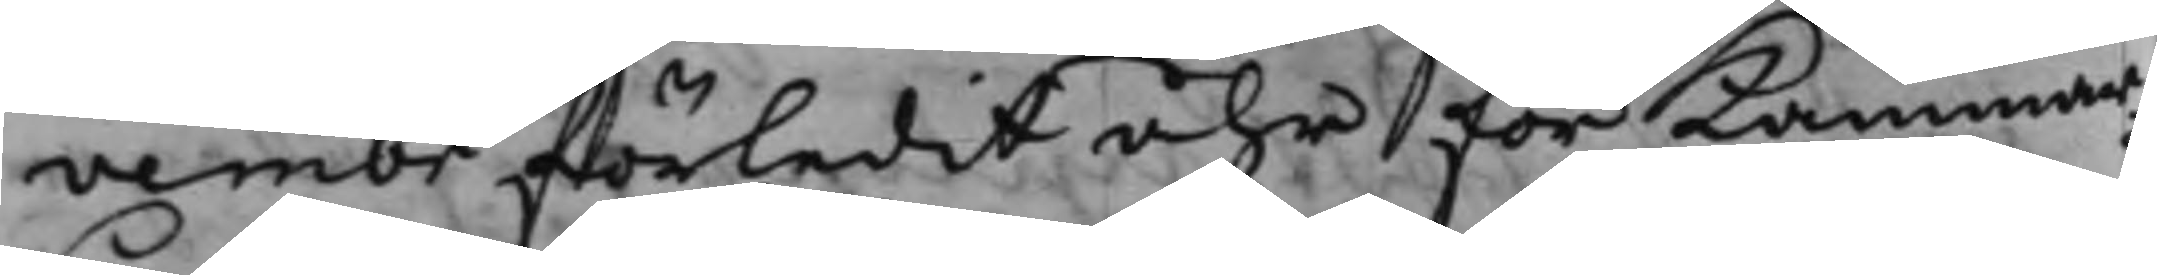vembr förledit åhr för Kammar¬
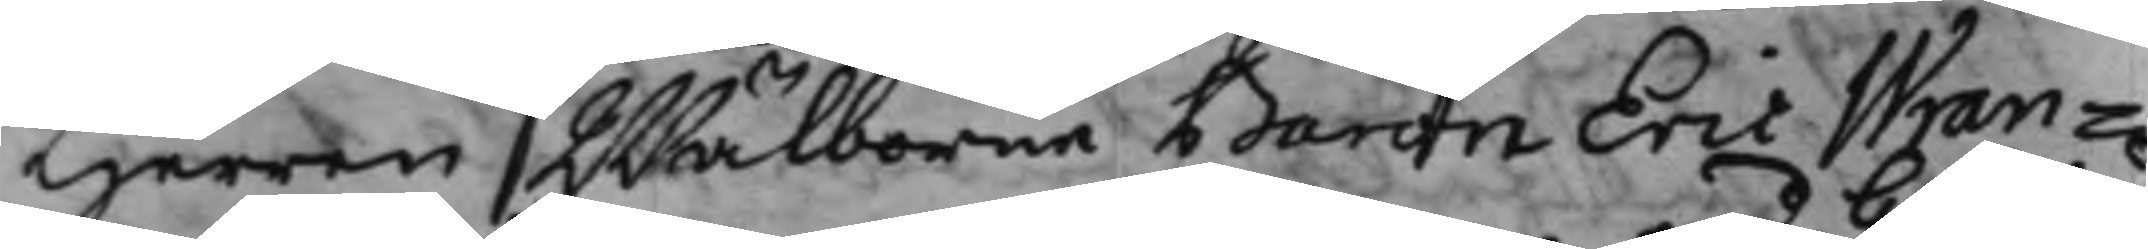Herren Wälborne Baron Eric Wran¬
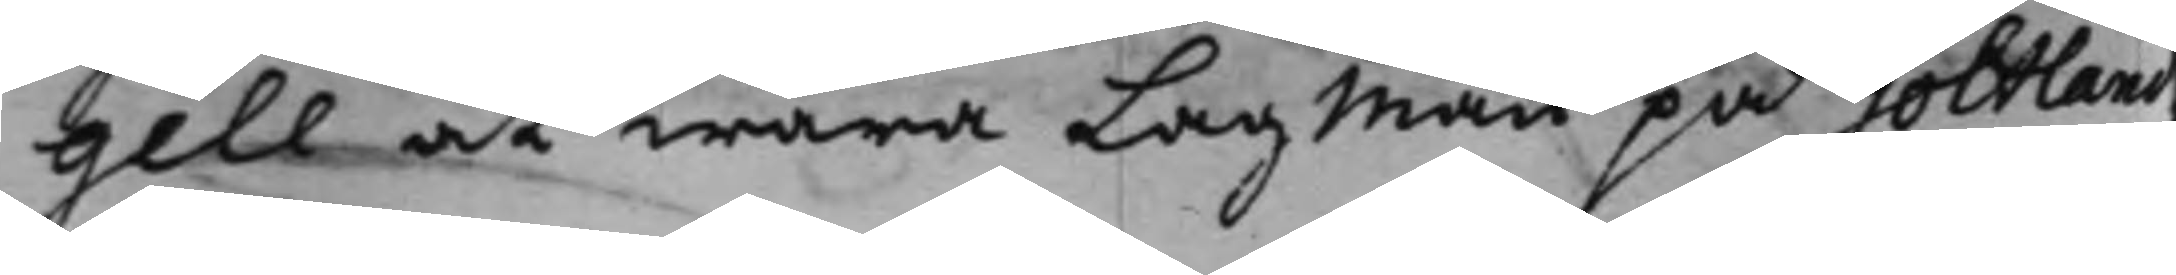gell at wara Lagman på Gottland
